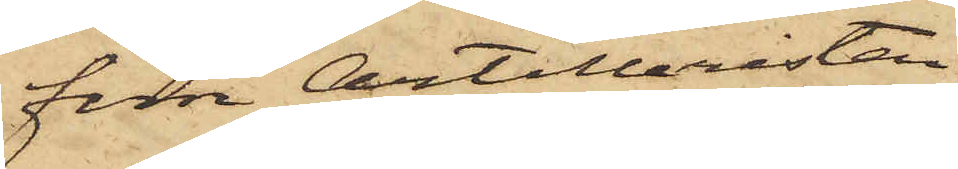förre Artilleristen
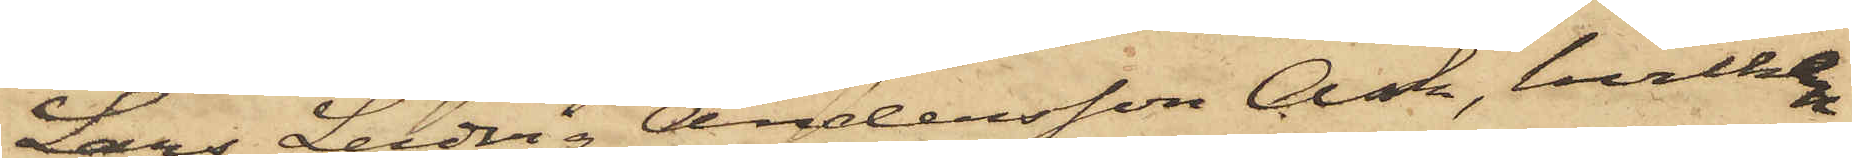Lars Ludvig Andersson Ask, hvilken
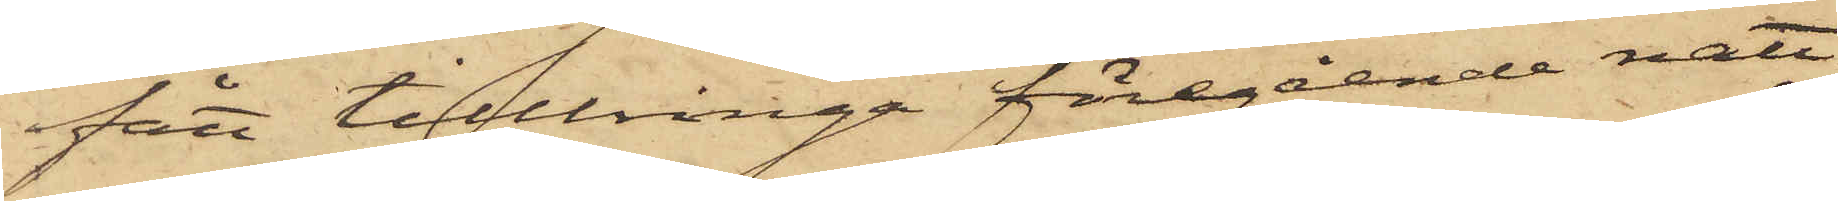fått tillbringa föregående natt
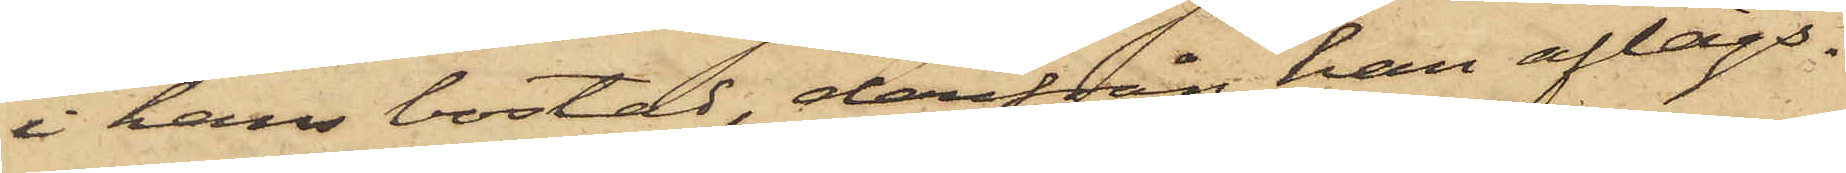i hans bostad, därifrån han aflägs¬
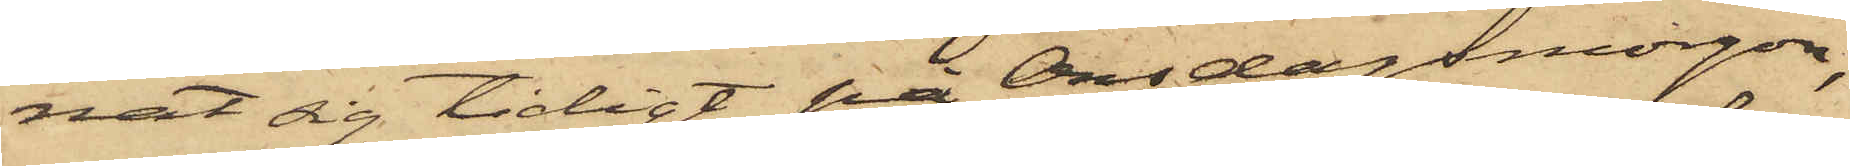nat sig tidigt på Onsdagsmorgon,
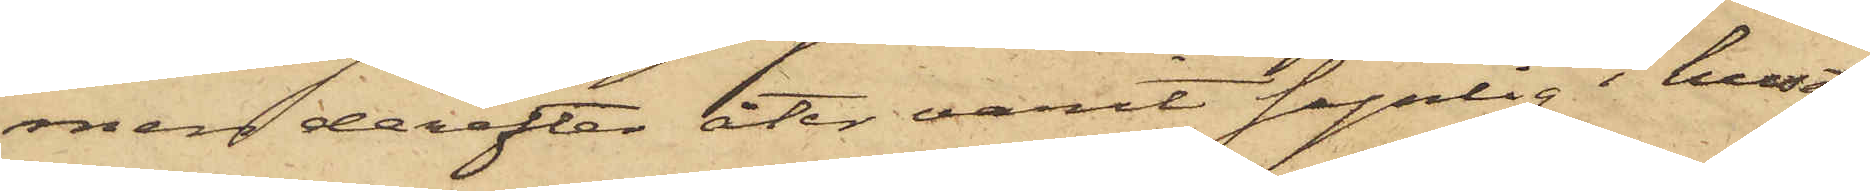men derefter åter varit synlig i huset
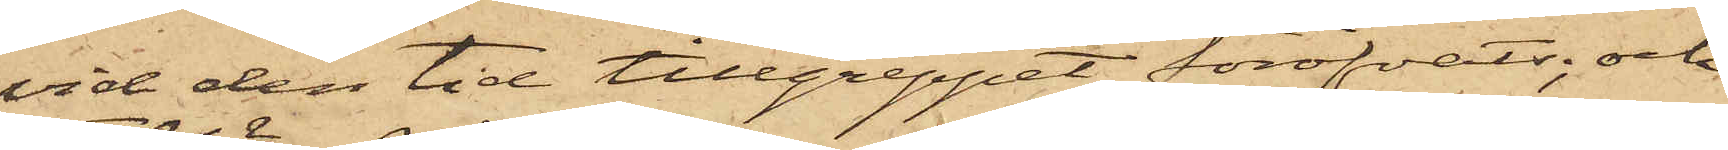vid den tid tillgreppet föröfvats; och
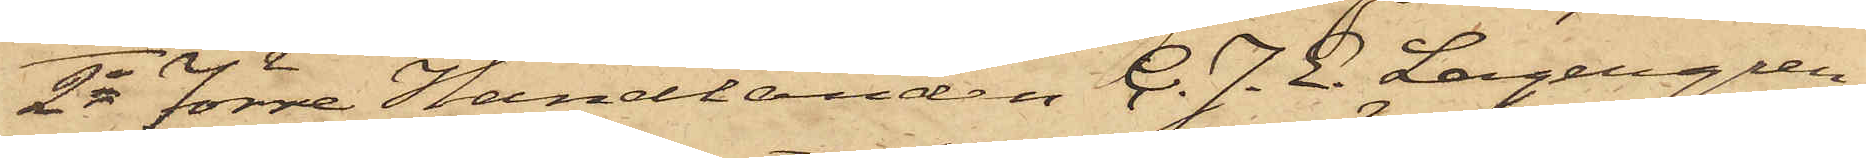2o förre Handlanden C. J. E. Lagergren
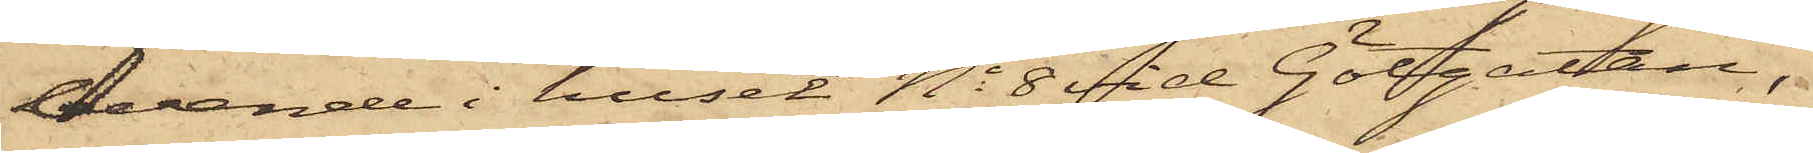boende i huset No 8 vid Götgatan,
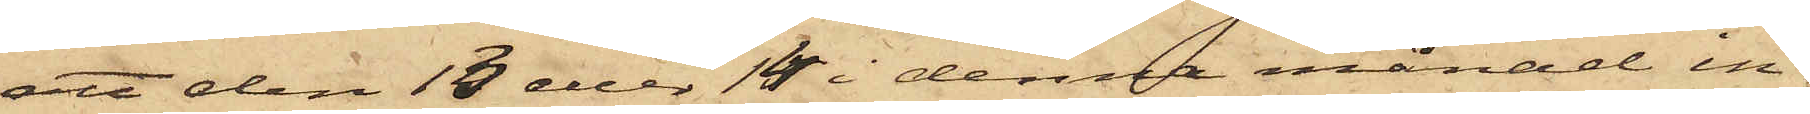att den 13 eller 14 i denna månad in¬
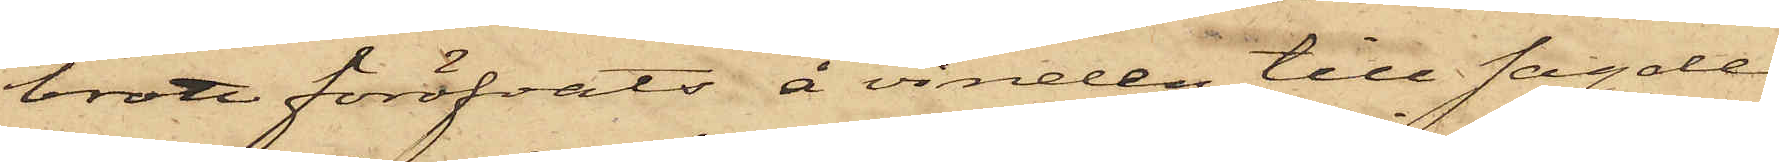brott föröfvats å vinden till sagde
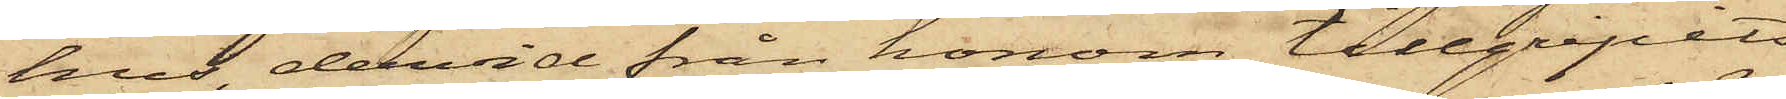hus, dervid från honom tillgripits
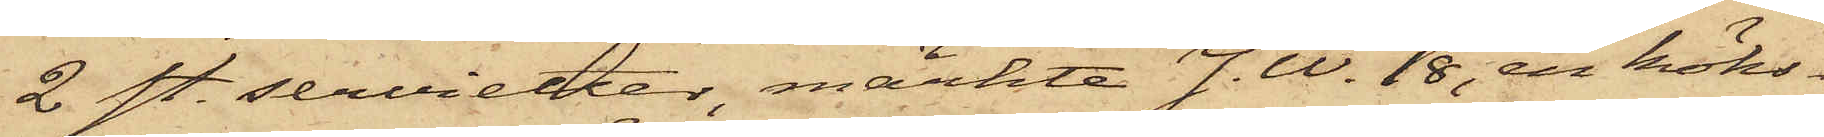2 st. servietter, märkte J. W. 18, en köks¬
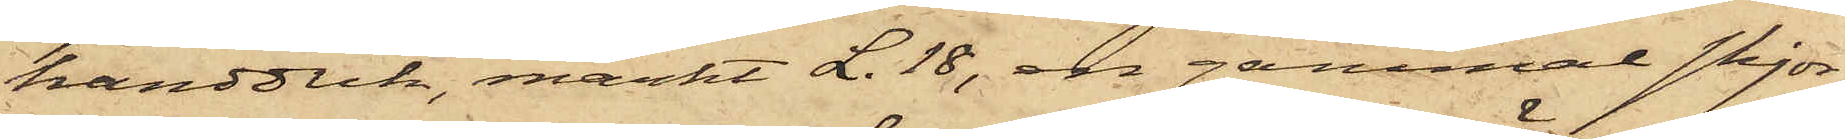handduk, märkt L.18, en gammal skjor¬
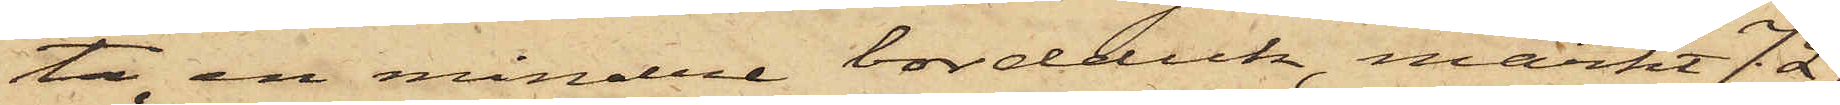ta, en mindre bordduk, märkt J. L.
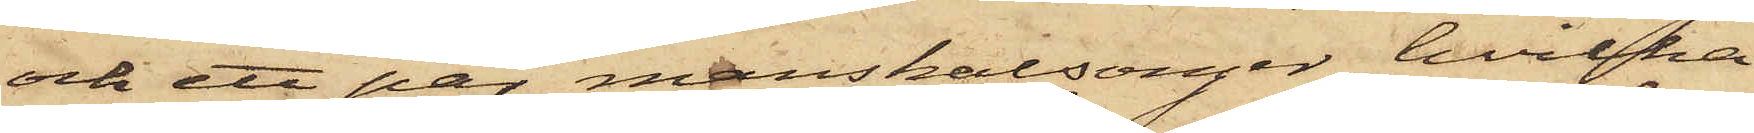och ett par manskalsonger, hvilka
